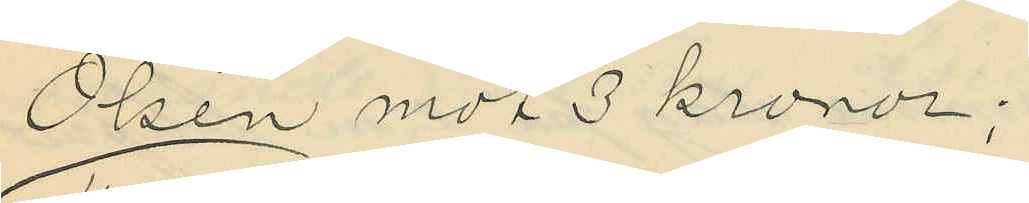Olsén mot 3 kronor;
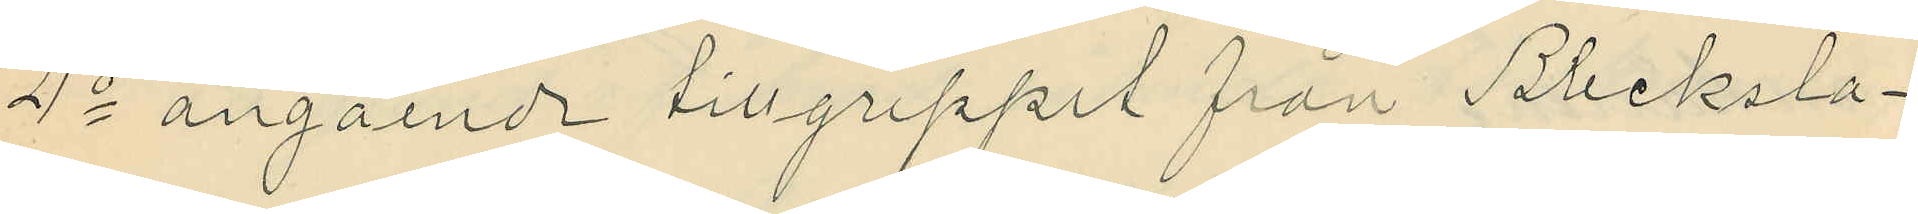4o angående tillgreppet från Blecksla¬
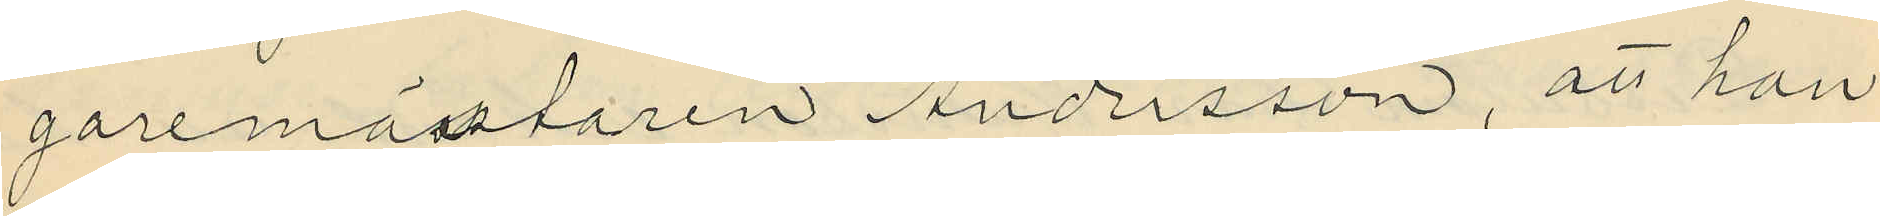garemästaren Andersson, att han
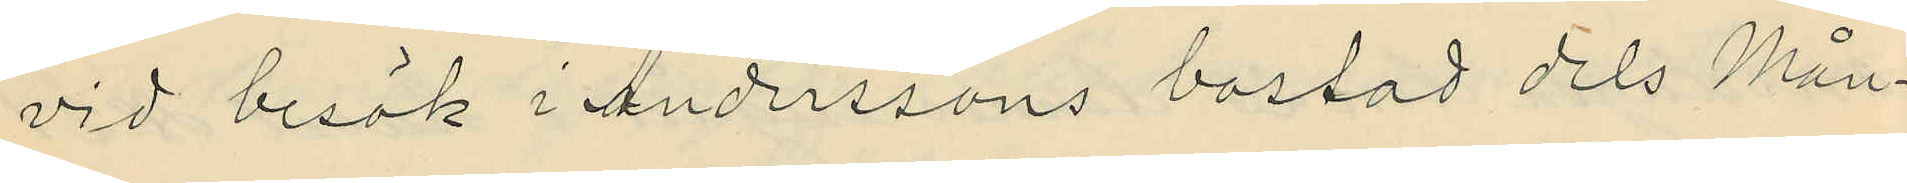vid besök i Anderssons bostad dels Mån¬
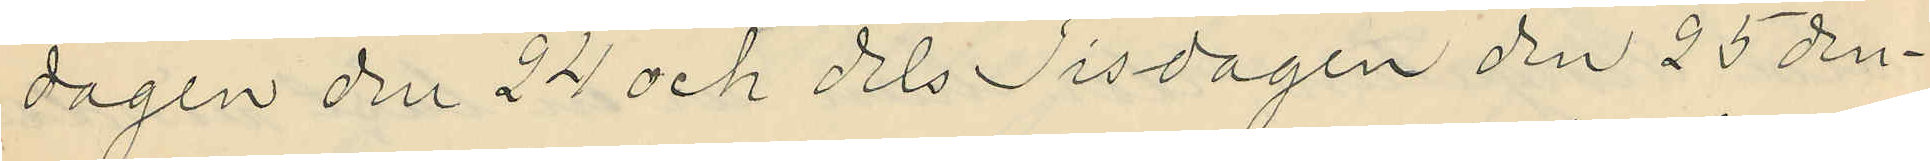dagen den 24 och dels Tisdagen den 25 den¬
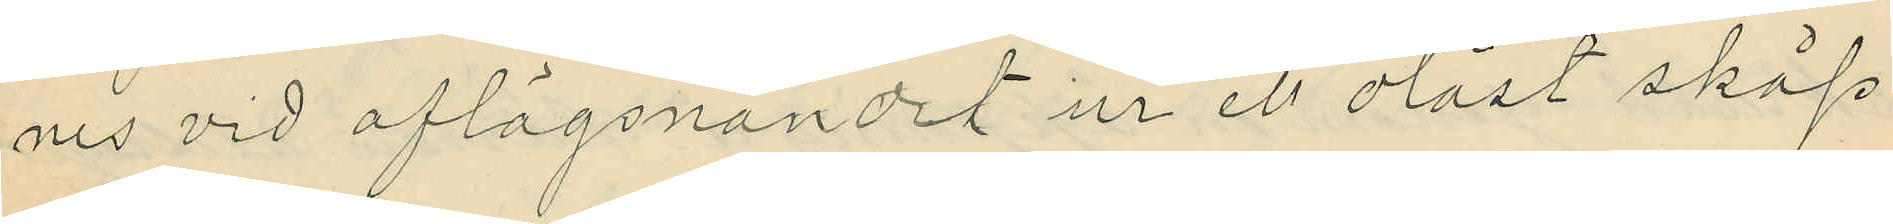nes vid aflägsnandet ur ett olåst skåp
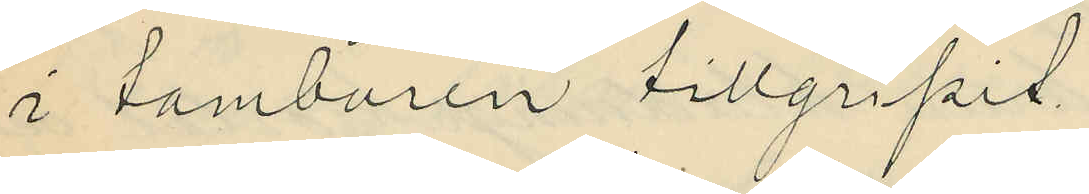i tamburen tillgripit
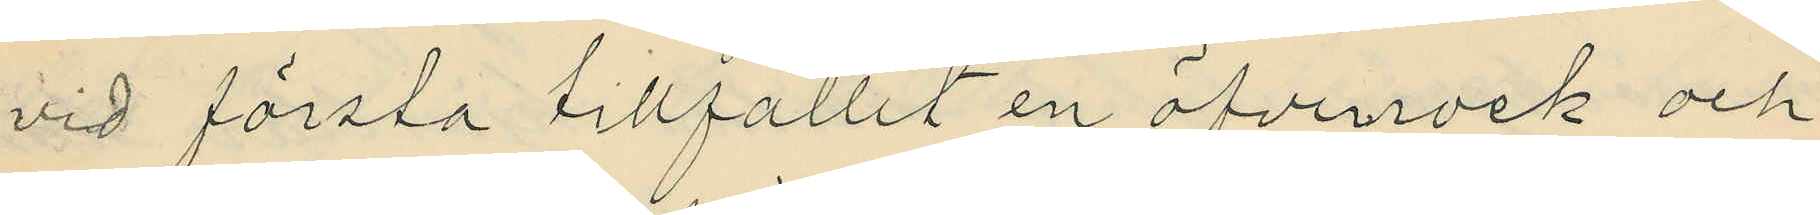vid första tillfället en öfverrock och
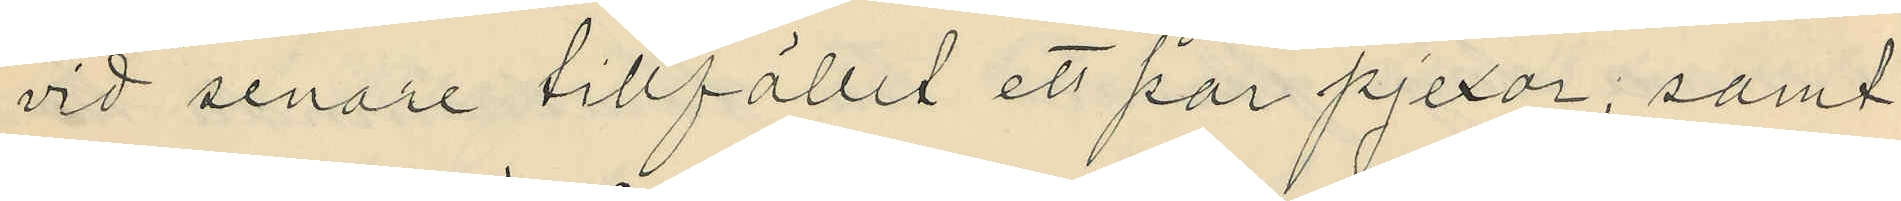vid senare tillfället ett par pjexor, samt
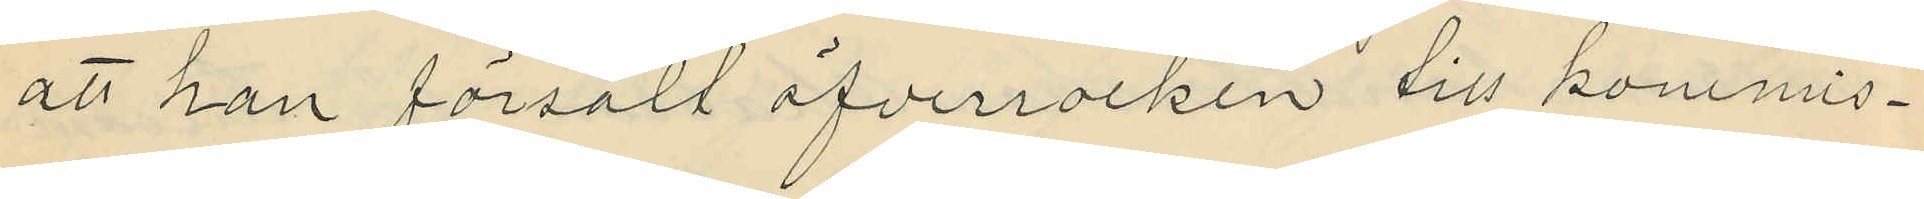att han försålt öfverrocken till kommis¬
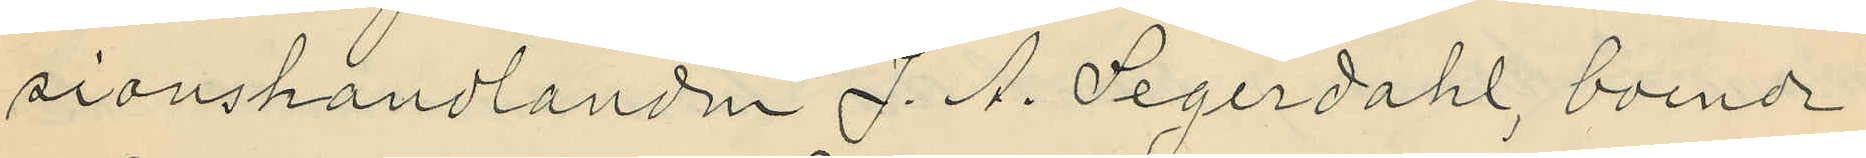sionshandlanden J. A. Segerdahl, boende
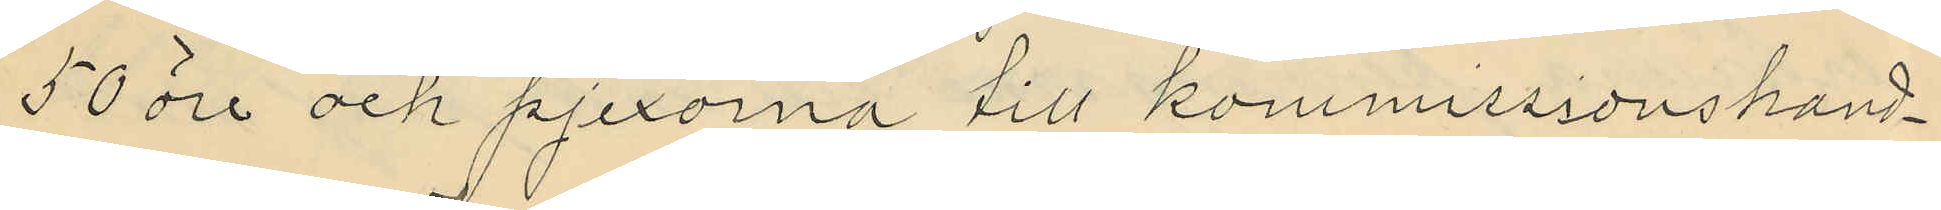50 öre och pjexorna till kommissionshand¬
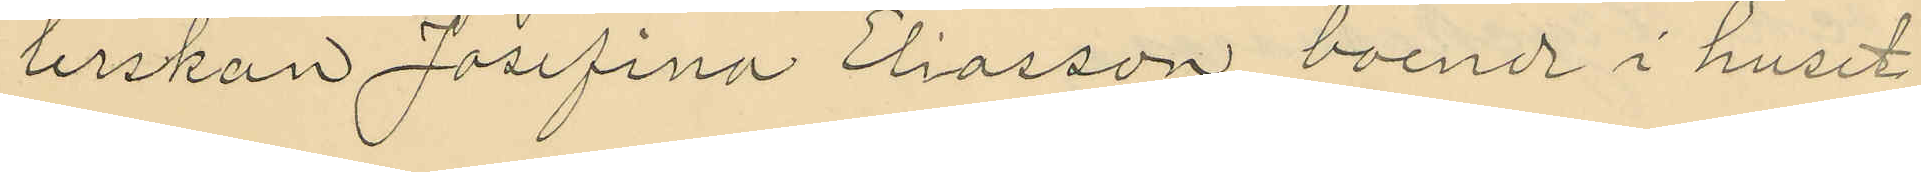lerskan Josefina Eliasson, boende i huset
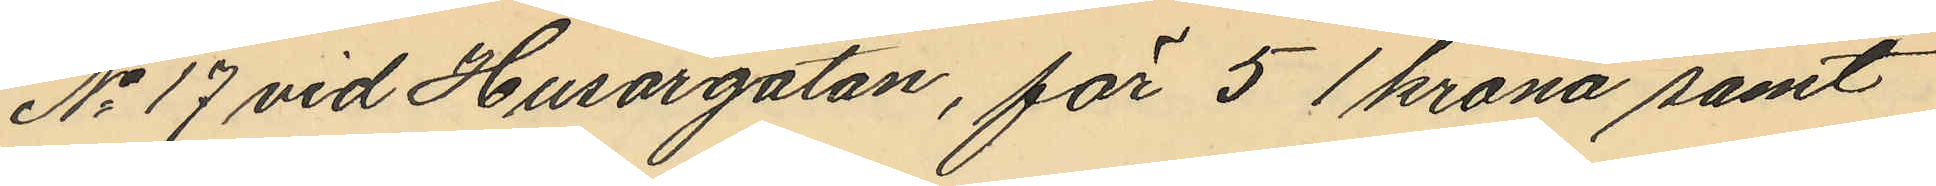No 17 vid Husargatan, för 5 1 krona samt
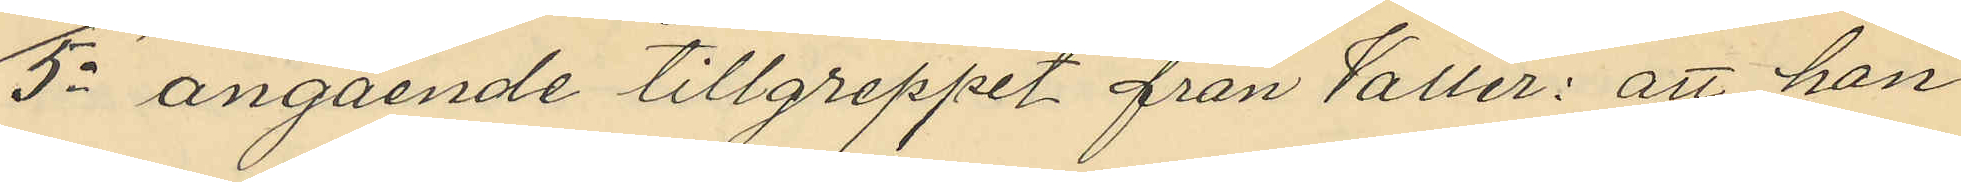5o angående tillgreppet från Valler: att han
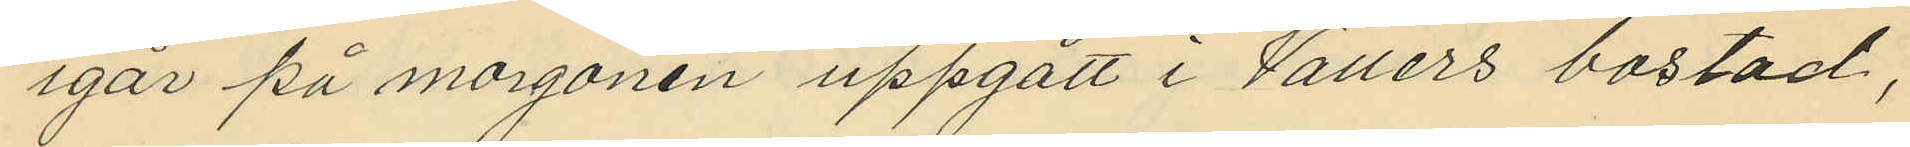igår på morgonen uppgått i Vallers bostad,
